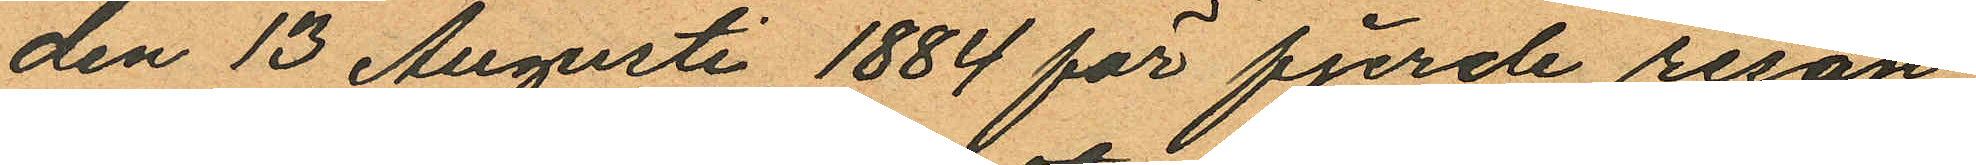den 13 Augusti 1884 för fjerde resan
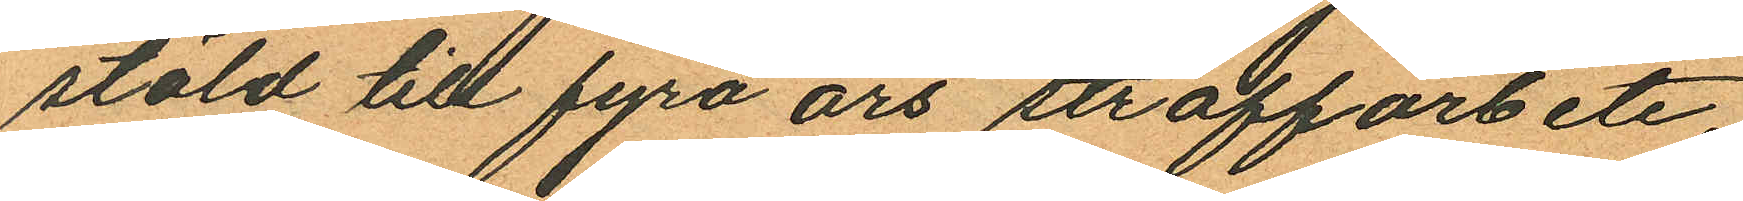stöld till fyra års straffarbete;
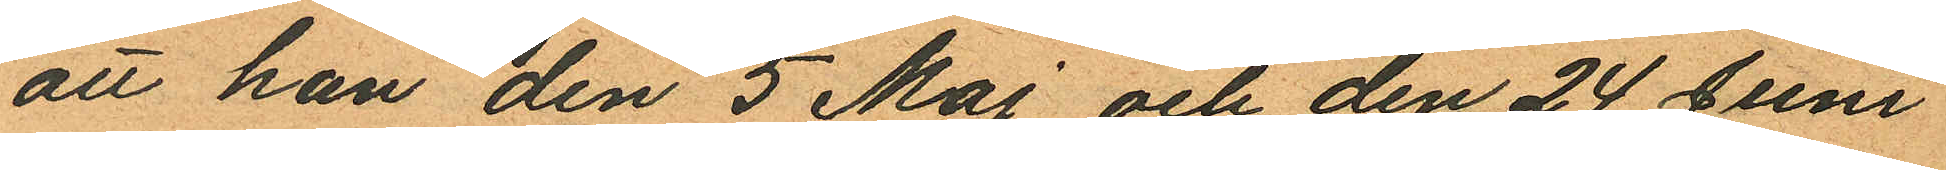att han den 5 Maj och den 24 Juni
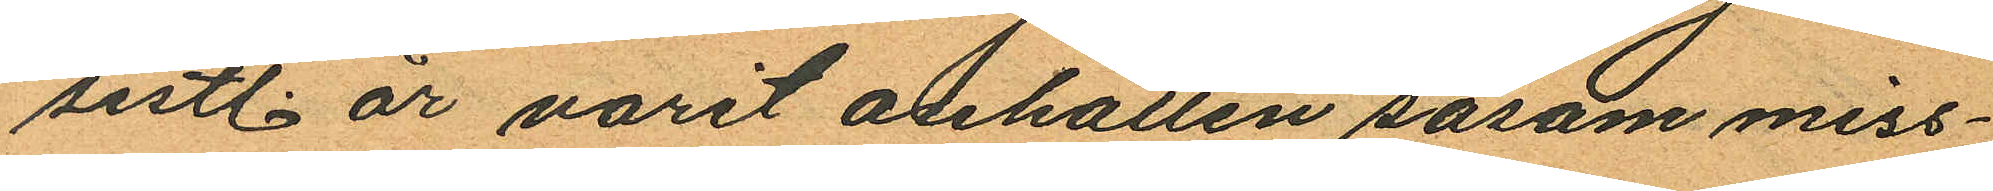sistl. år varit anhållen såsom miss¬
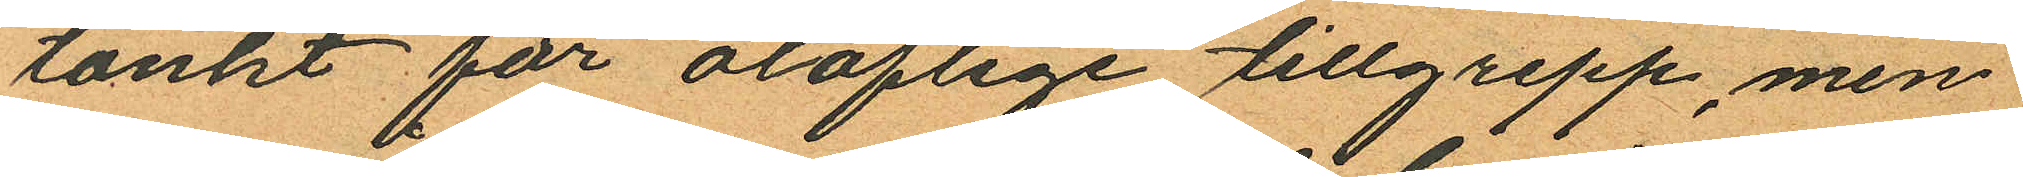tänkt för oloflige tillgrepp, men
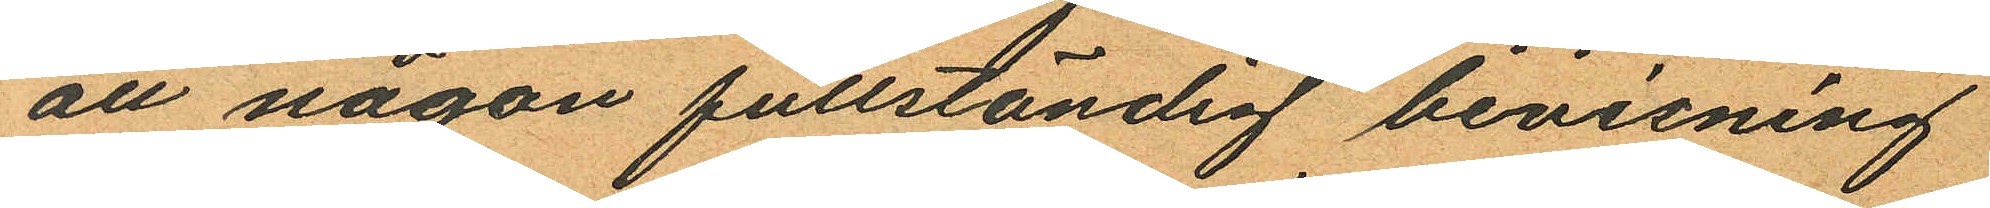att någon fullständig bevisning
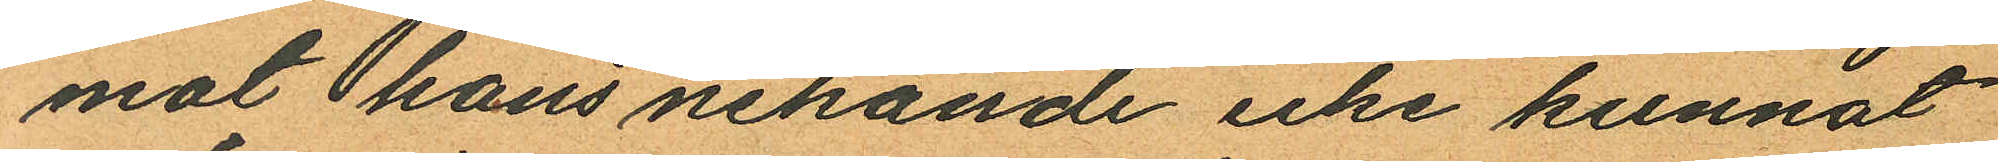mot hans nekande icke kunnat
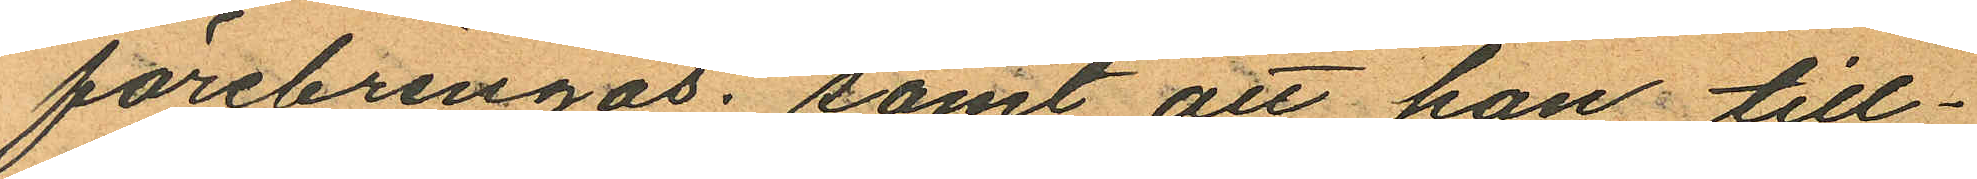förebringas; samt att han till¬
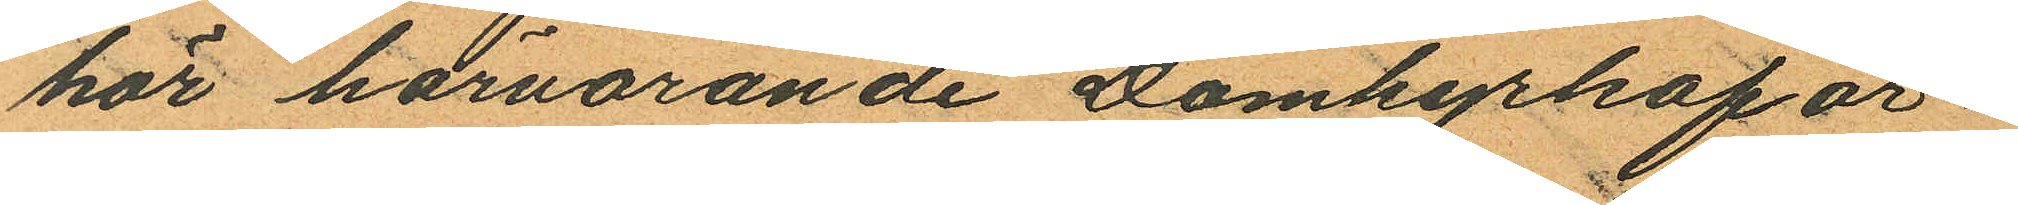hör härvarande Domkyrkoför¬
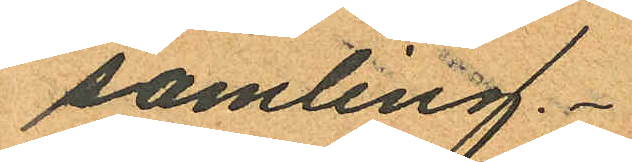samling.
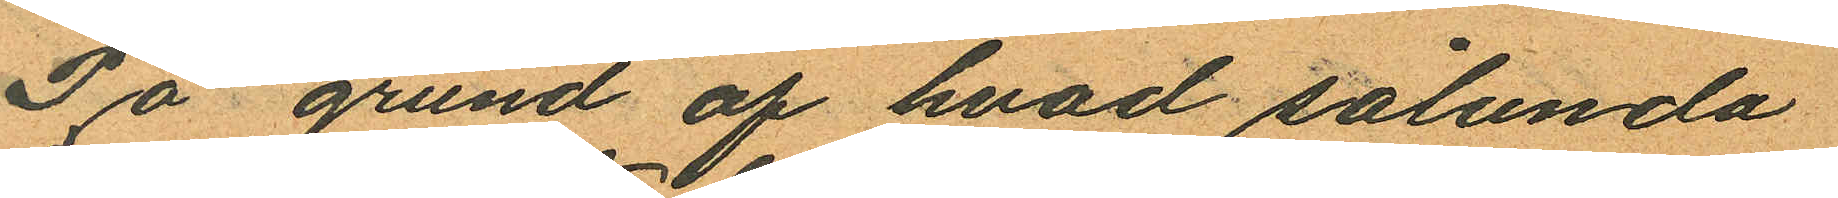På grund af hvad sålunda
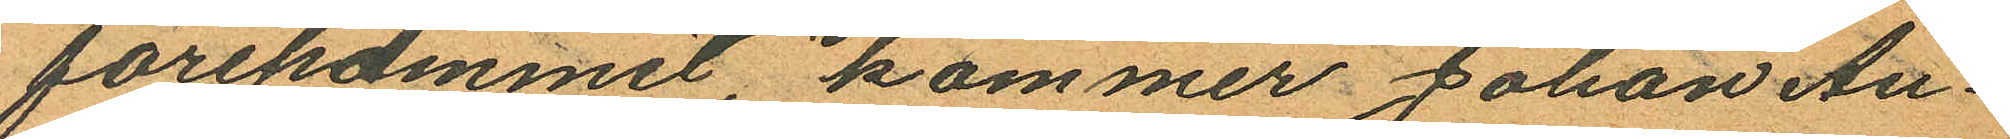förekommit, kommer Johan Au¬
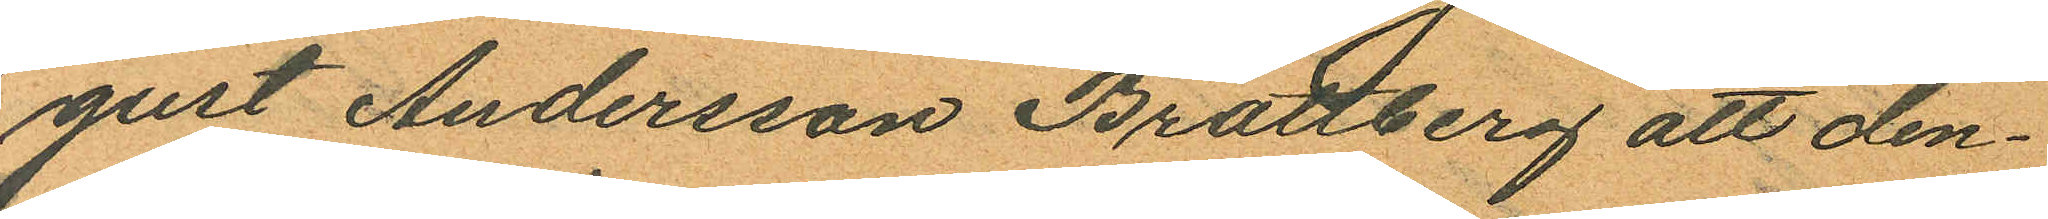gust Andersson Brattberg att den¬
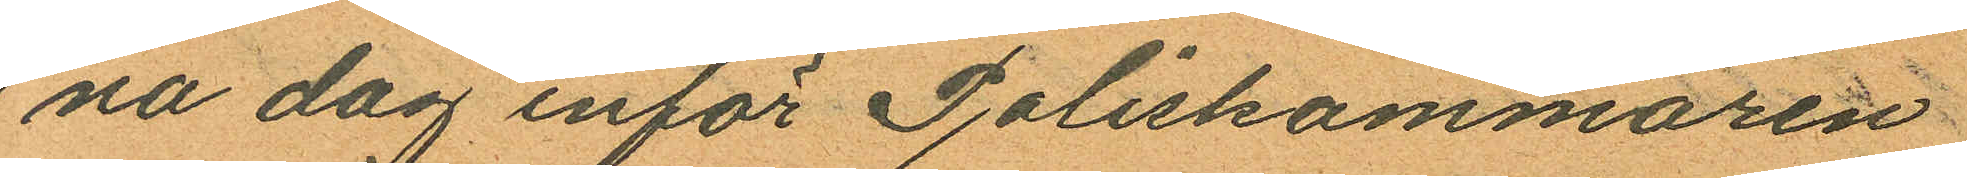na dag inför Poliskammaren
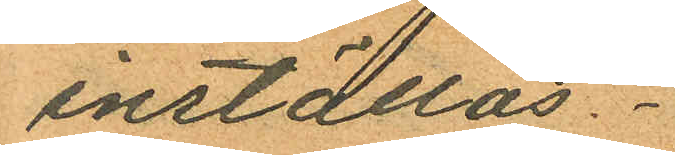inställas.
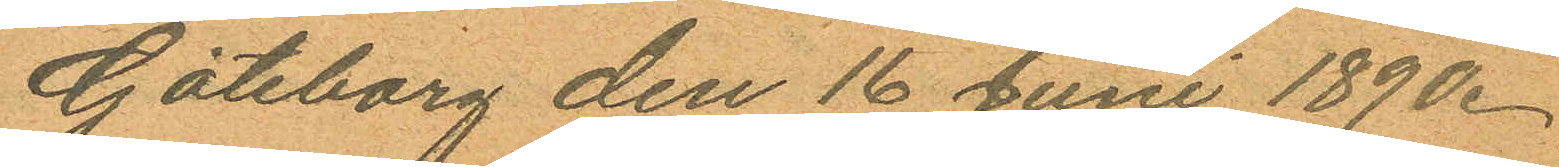Göteborg den 16 Juni 1890.
